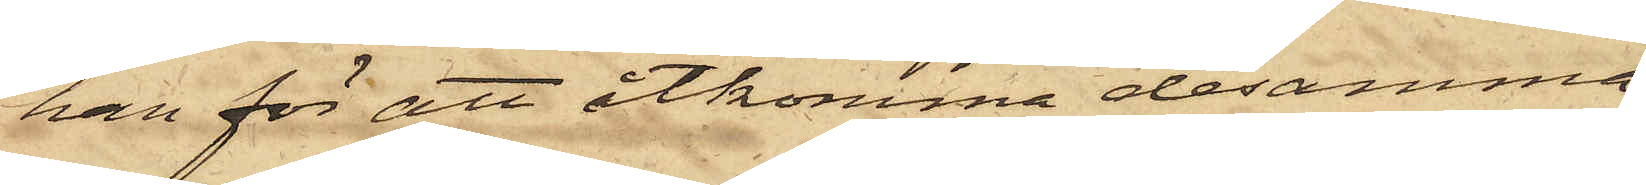han för att åtkomma desamma,
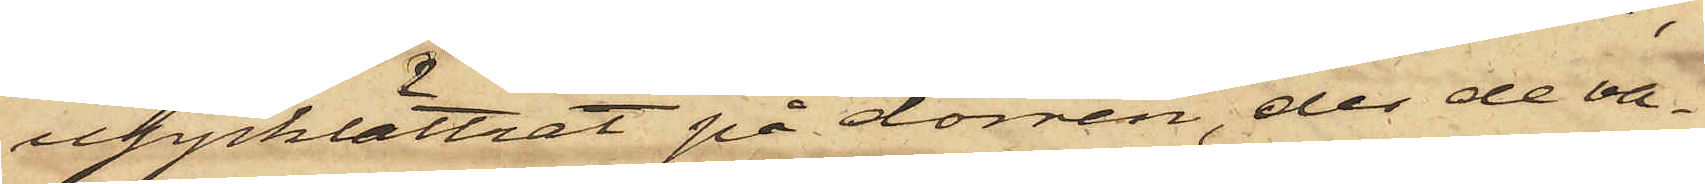uppklättrat på dörren, der de va¬
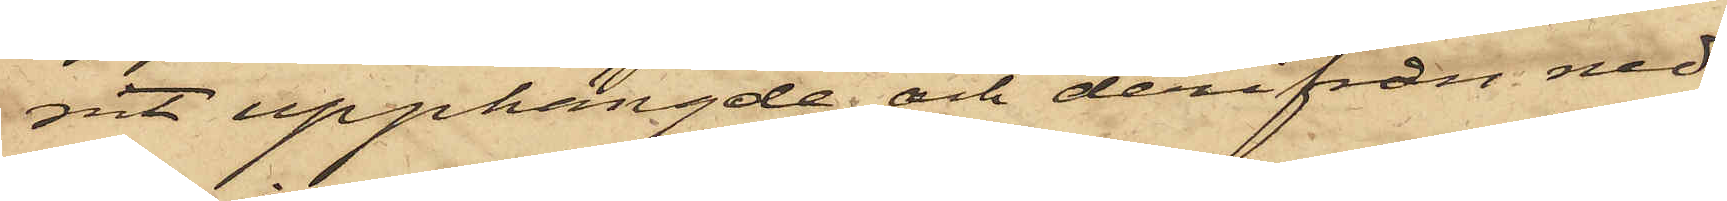nit upphängde och derifrån ned¬
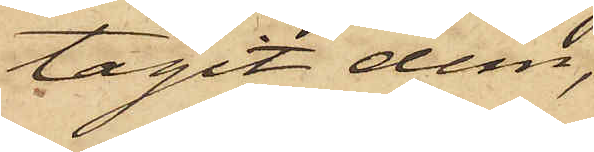tagit dem,
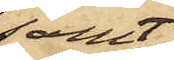samt
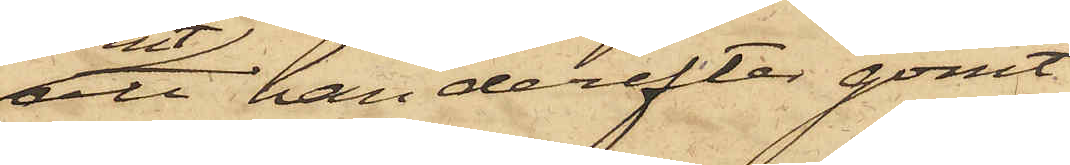att han derefter gömt
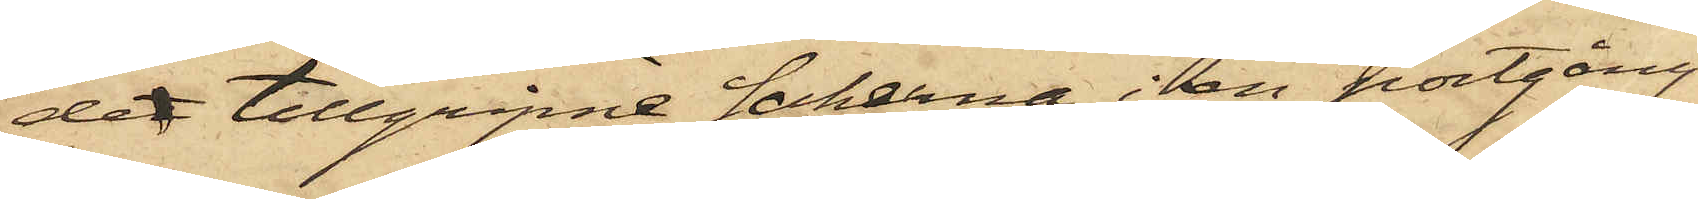det tillgripne sakerna i en portgång
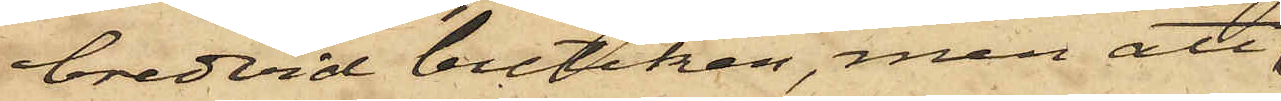bredvid butiken, men att
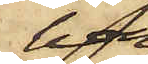han
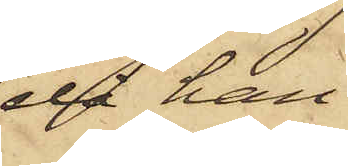då han
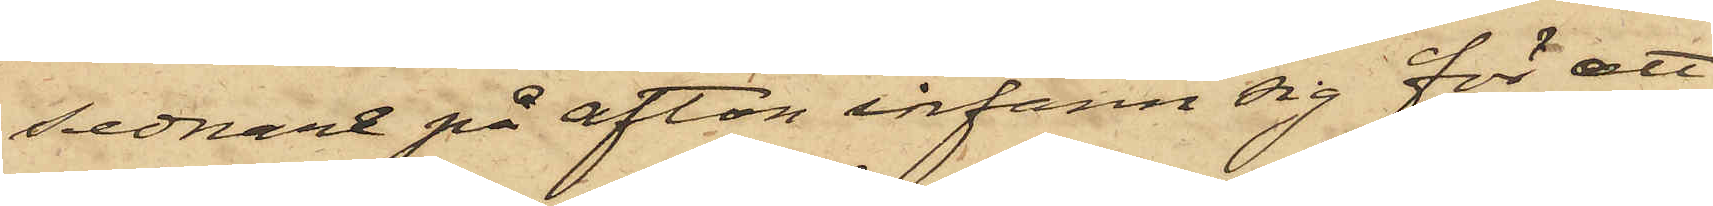sednare på afton infann sig för att
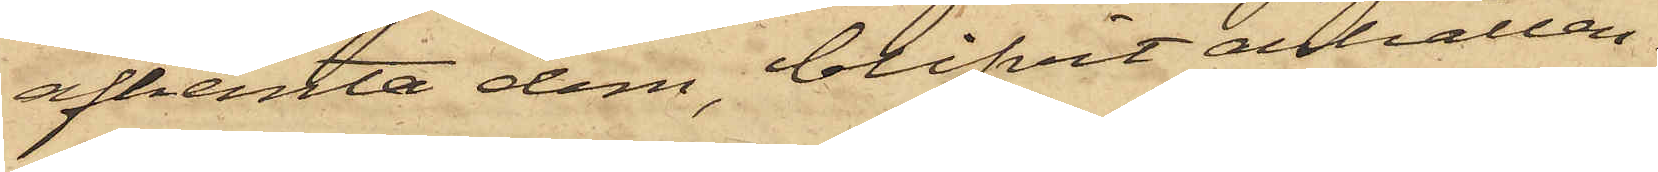afhemta dem, blifvit anhållen.
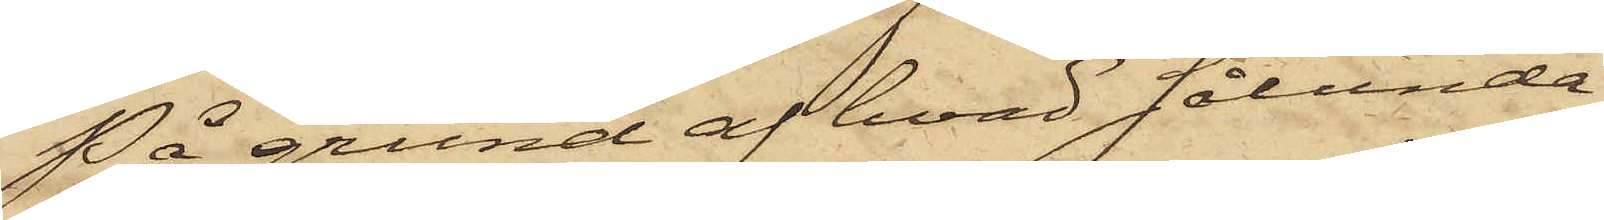På grund af hvad sålunda
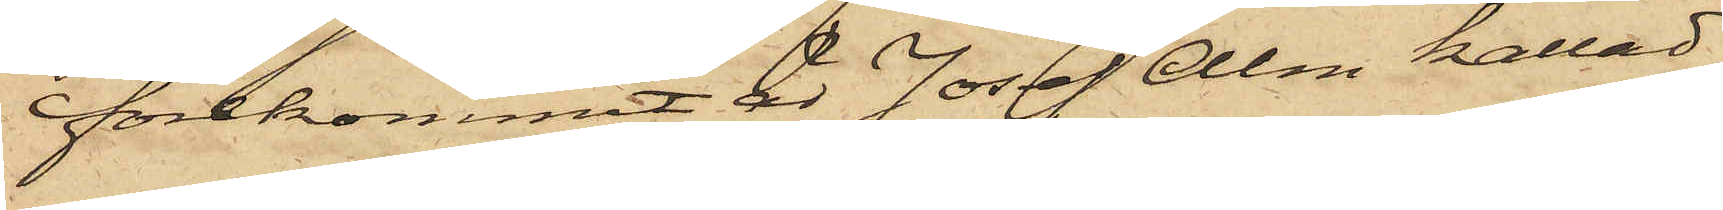förekommit är Josef Alm kallad
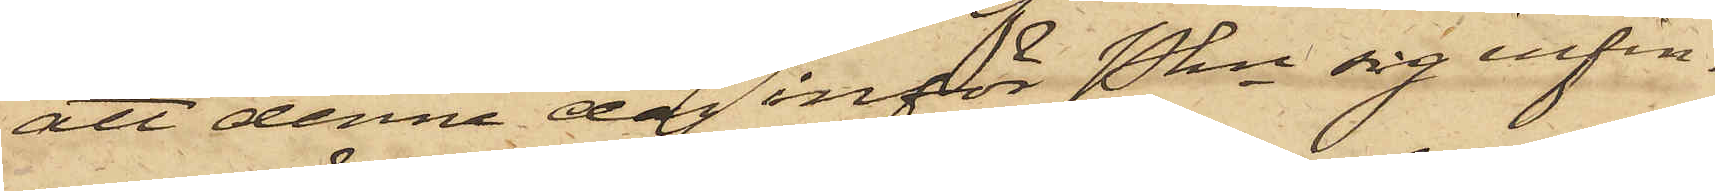att denna dag inför Pkn sig infin¬
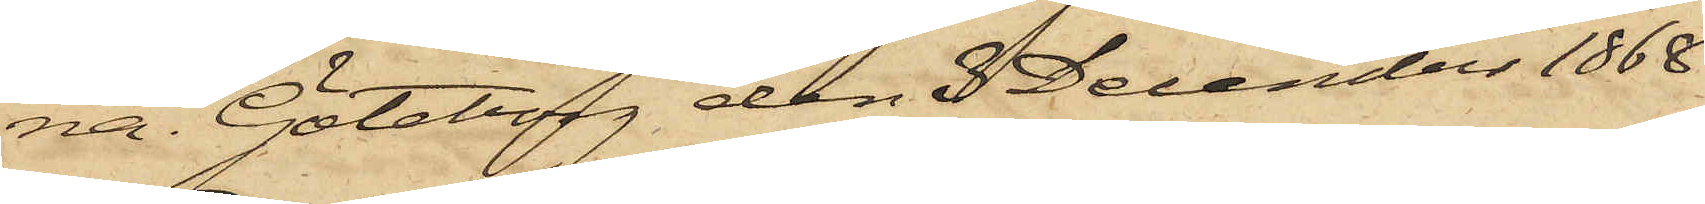na. Göteborg den 3 December 1868
